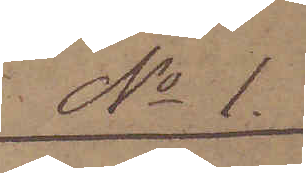No 1.
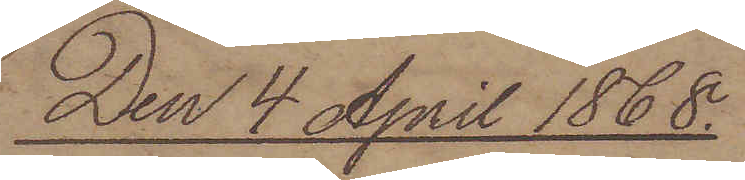Den 4 April 1868.
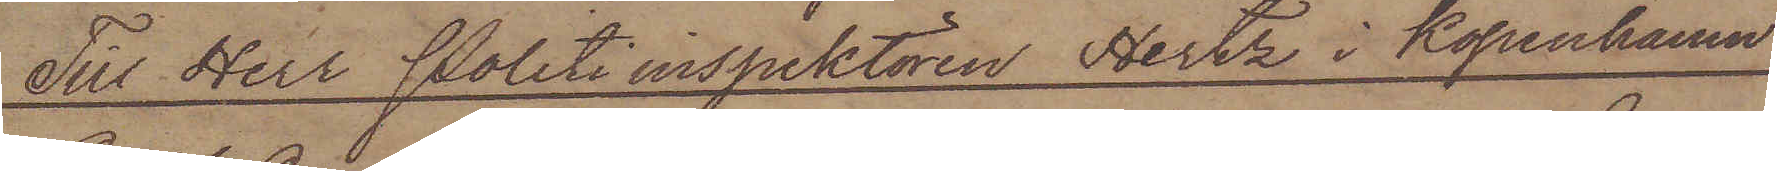Till Herr Politi inspektören Hertz i Köpenhamn
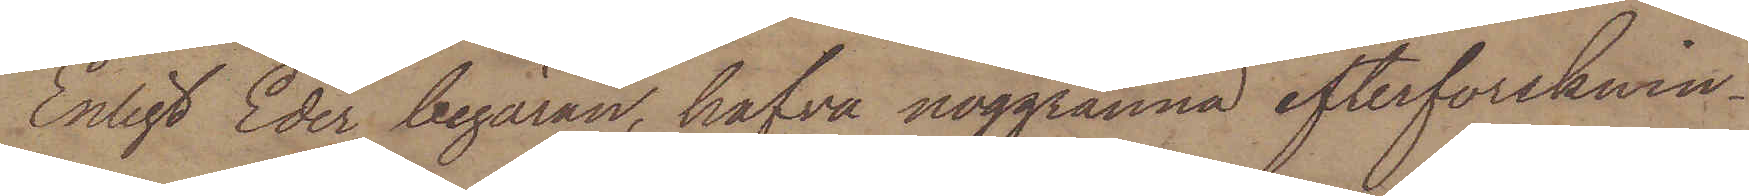Enligt Eder begäran, hafva noggranna efterforsknin¬
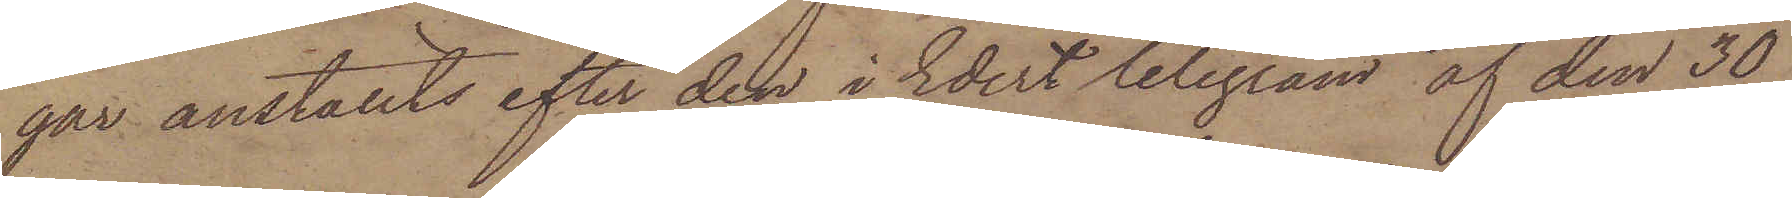gar anställts efter den i Edert telegram af den 30
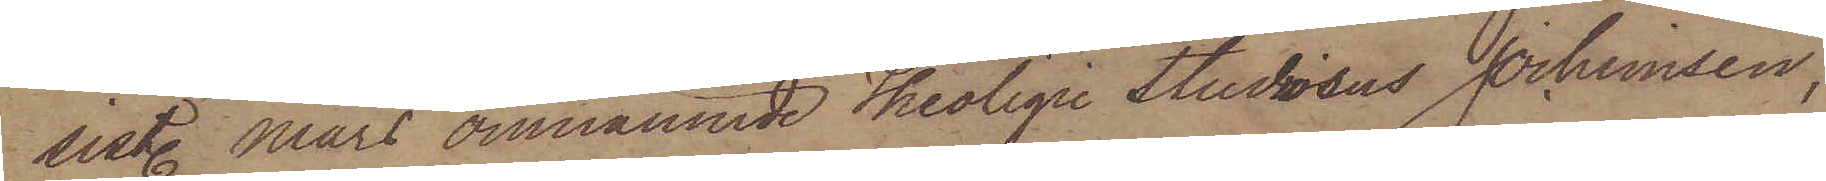sist. Mars omnämnde Teoligie Studiosus Jochimsen,
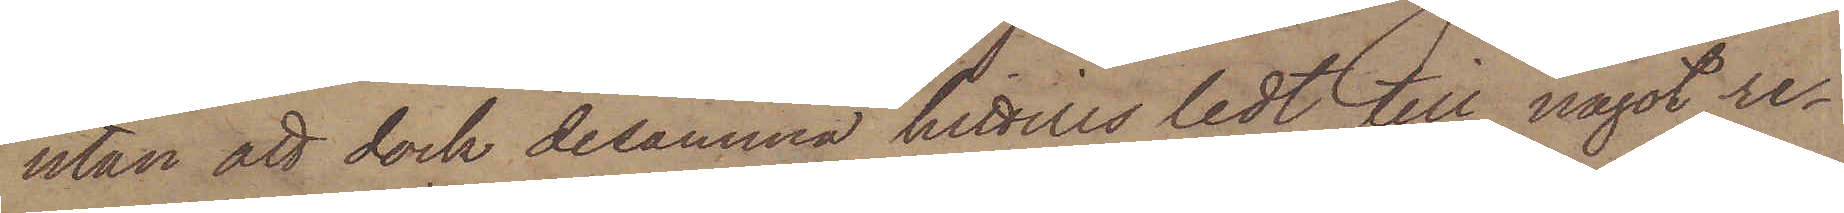utan att dock desamma hittills ledt till något re¬
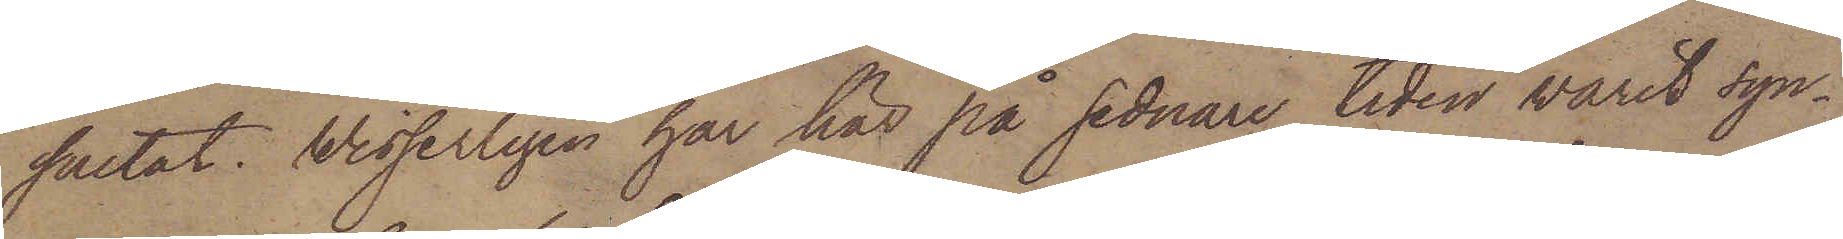sultat. Visserligen har här på sednare tiden warit syn¬
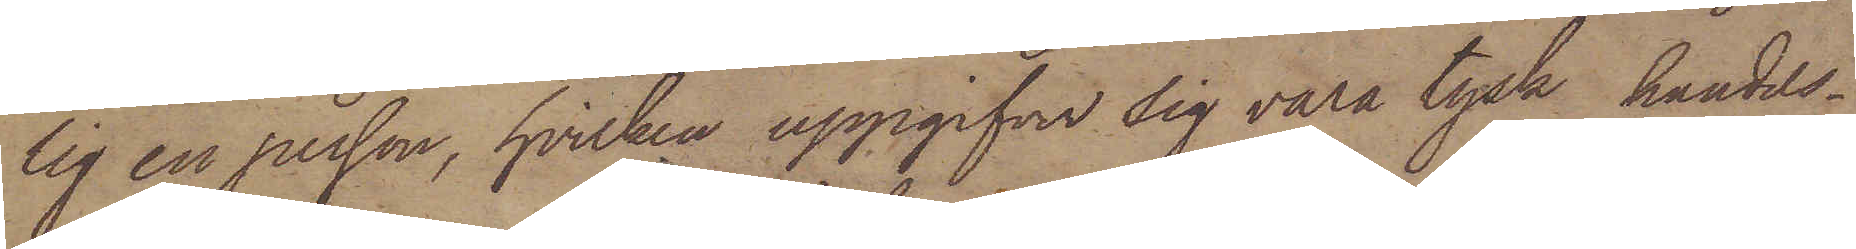lig en person, hvilken uppgifver sig vara tysk handels¬
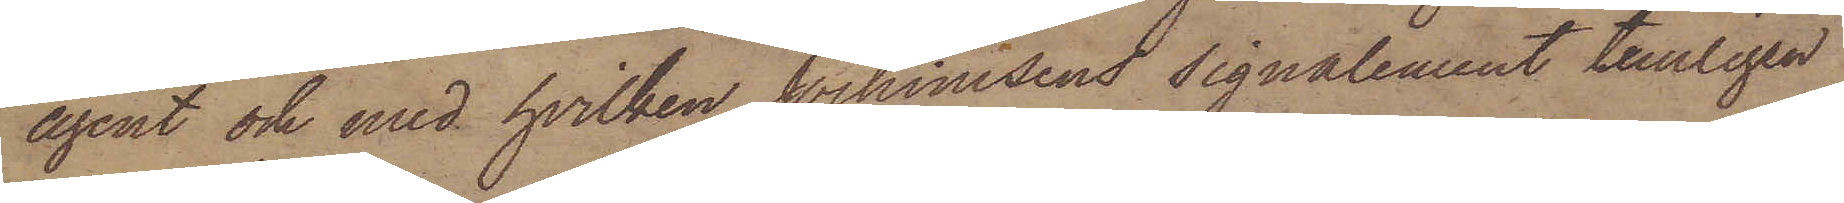agent och med hvilken Jochimsens signalement temligen
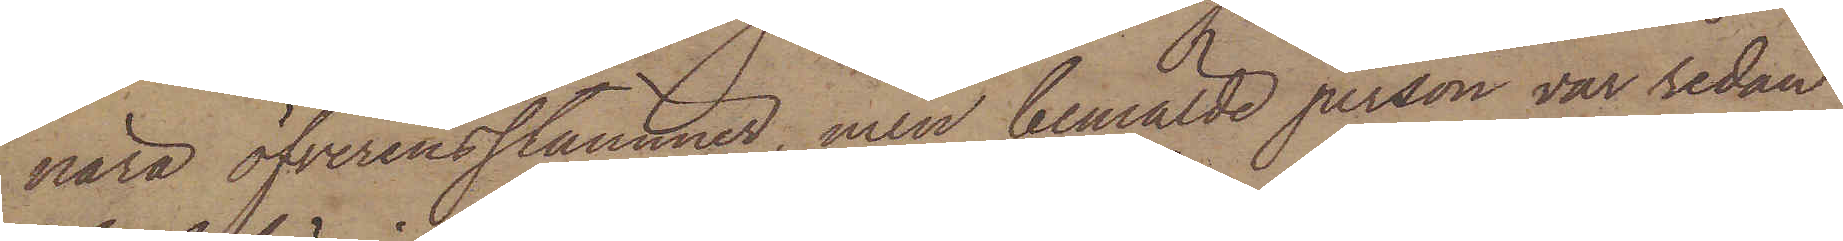nära öfverensstämmer, men bemälde person var sedan
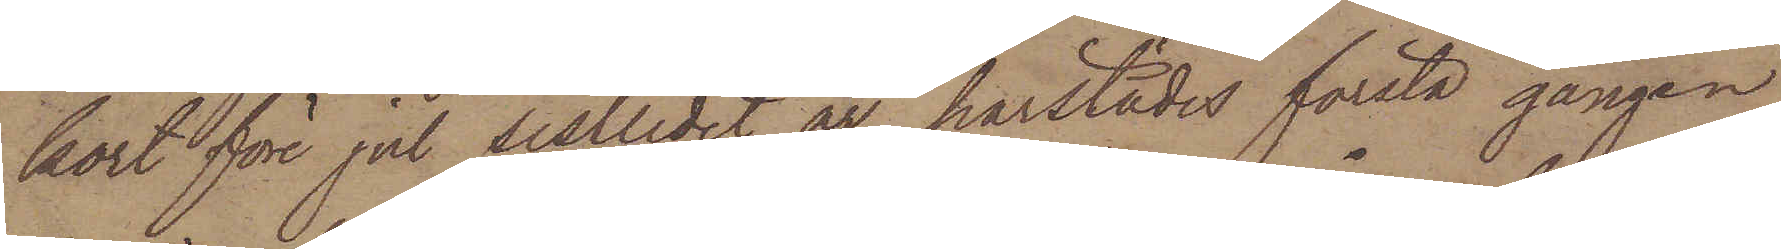kort före jul sistlidet år härstädes första gången
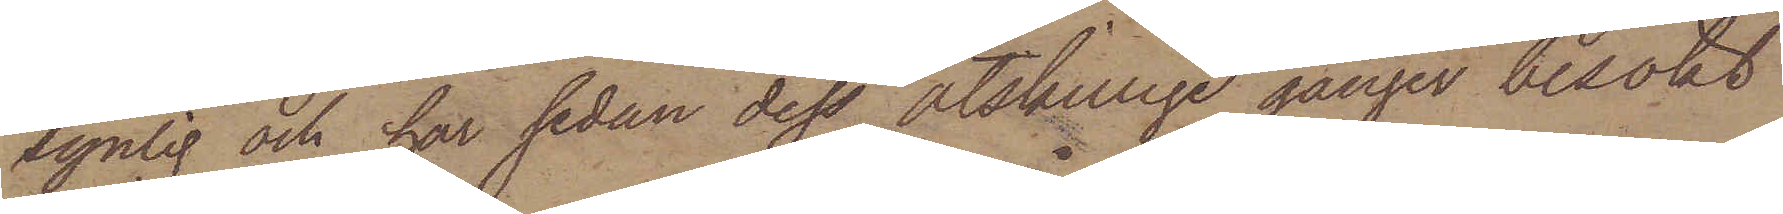synlig och har sedan dess åtskillige gånger besökt
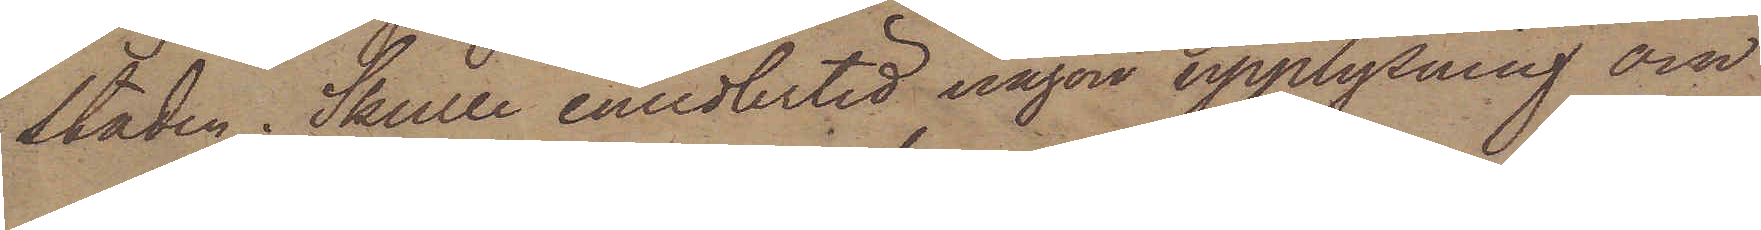staden. Skulle emedlertid någon upplysning om
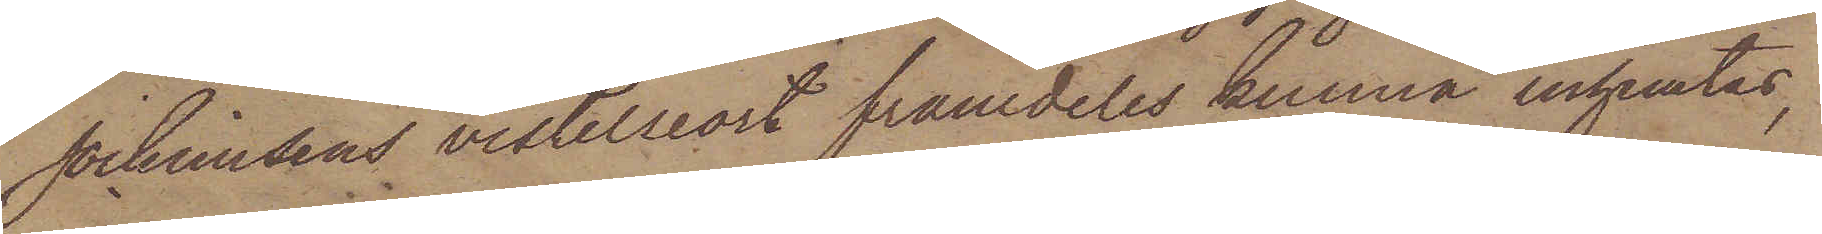Jochimsens vistelseort framdeles kunna inhemtas,
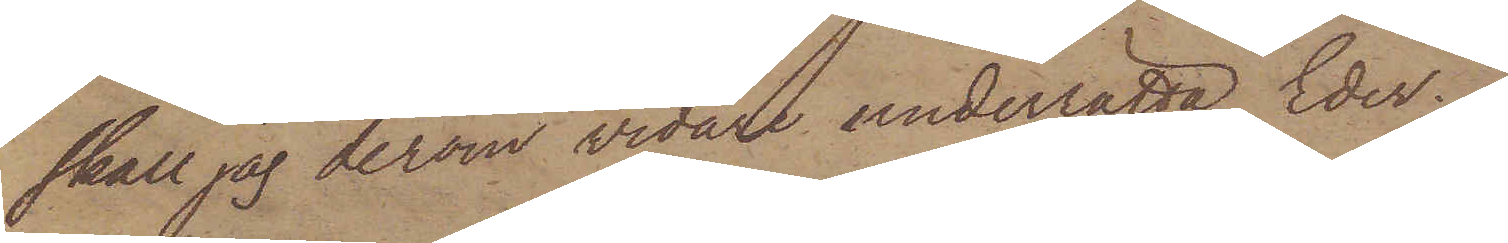skall jag derom vidare underrätta Eder.
